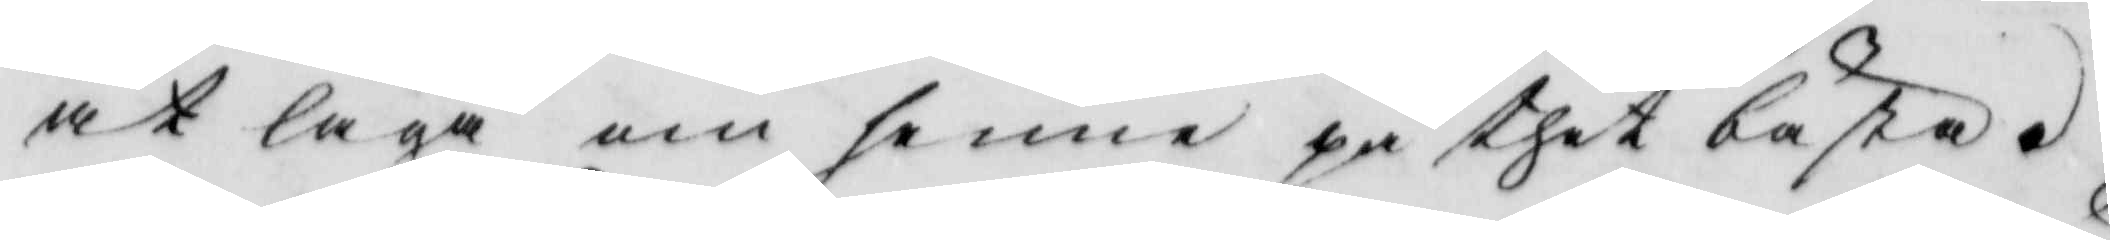at laga om henne på thet bästa.
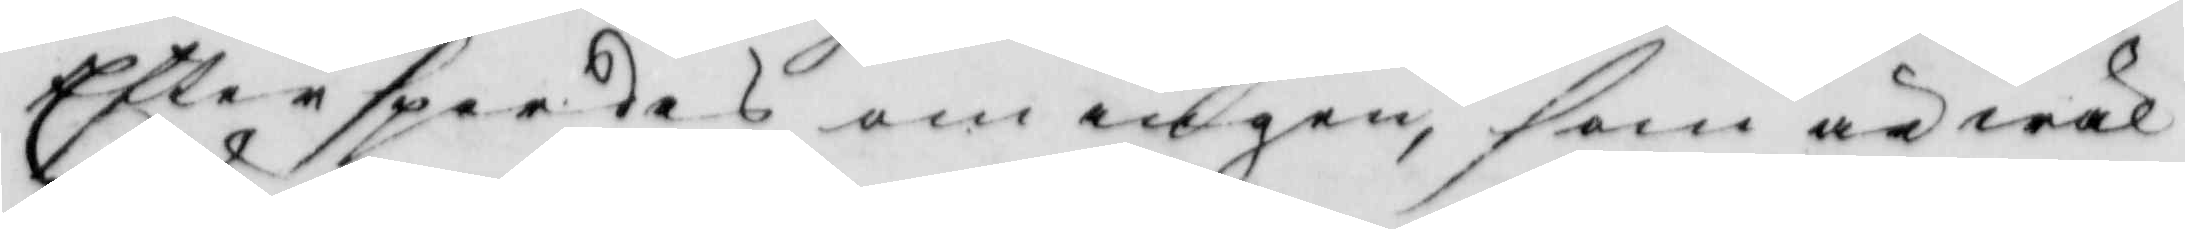Efter spordes om ingen, som är wäl
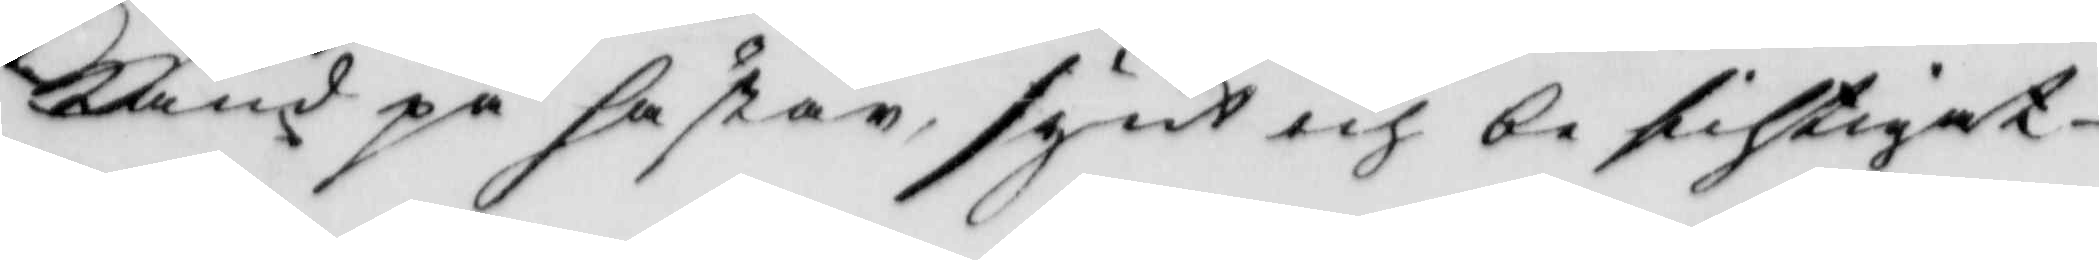känd på hästen synt och besihtigat
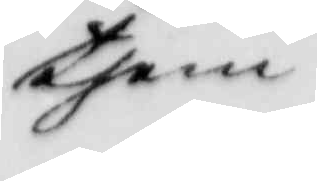them
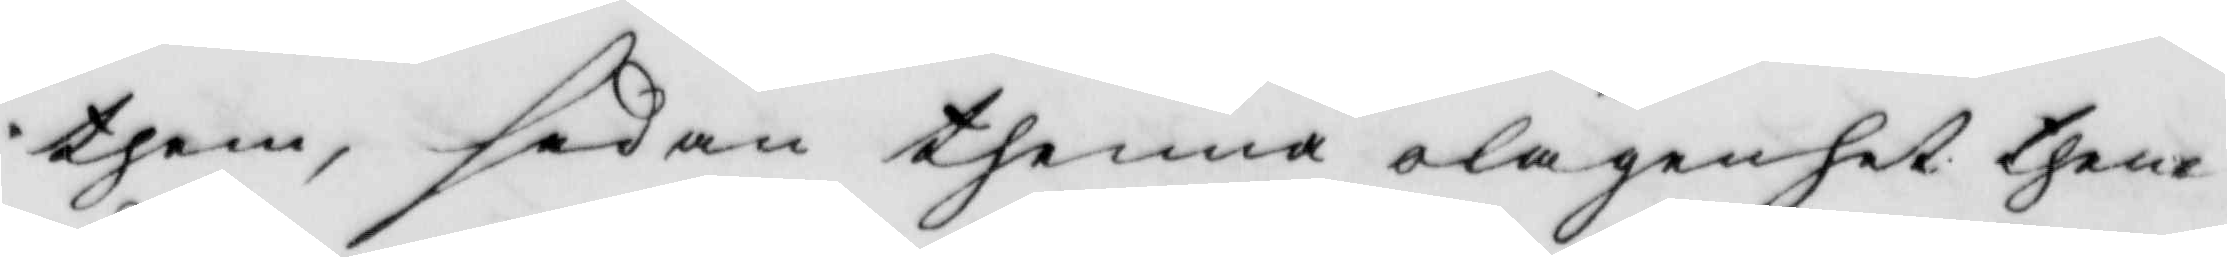them sådan thenna olägenhet them
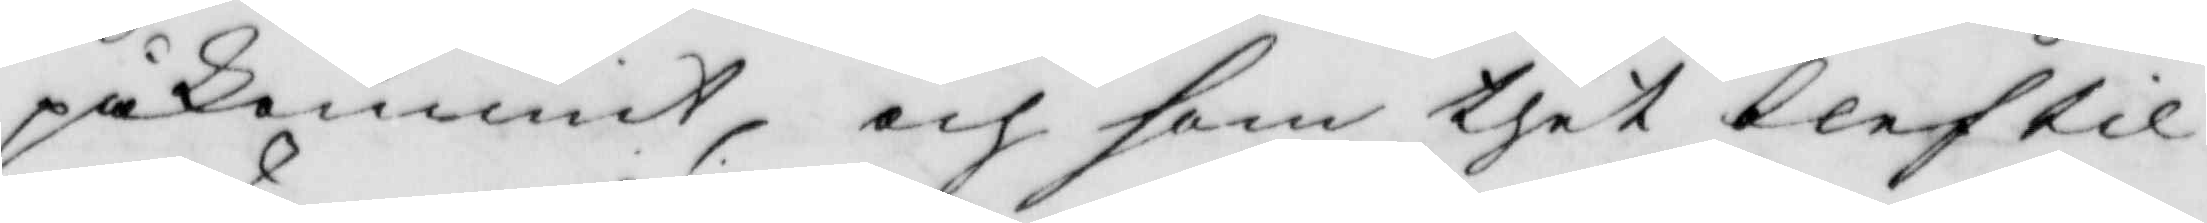påkommit, och som thet blef til
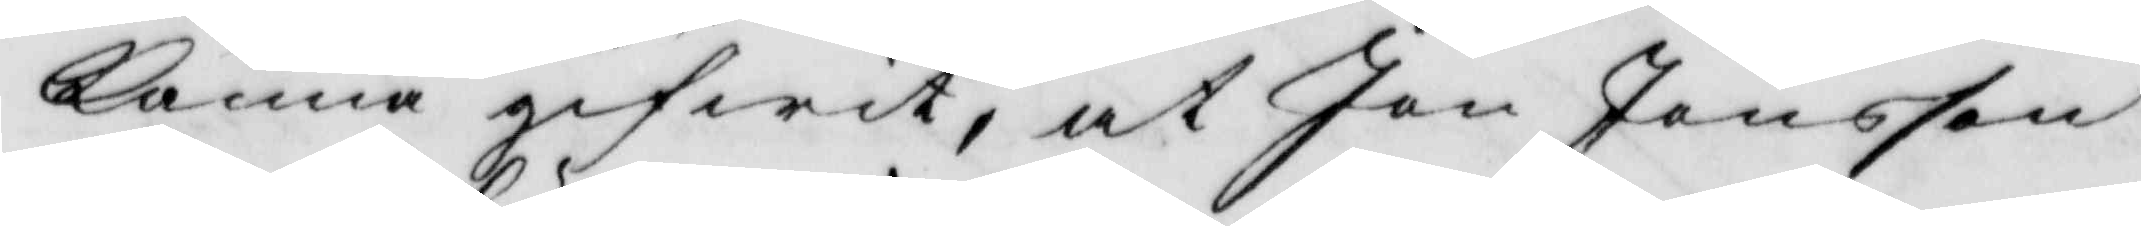känna gifwit, at Jon Jonsson
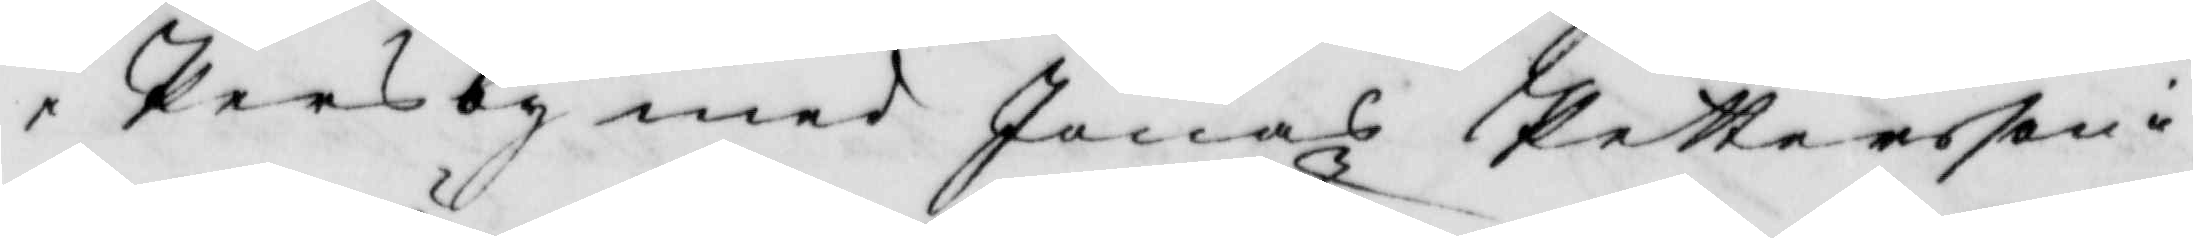i Persby med Jonas Pettersson i
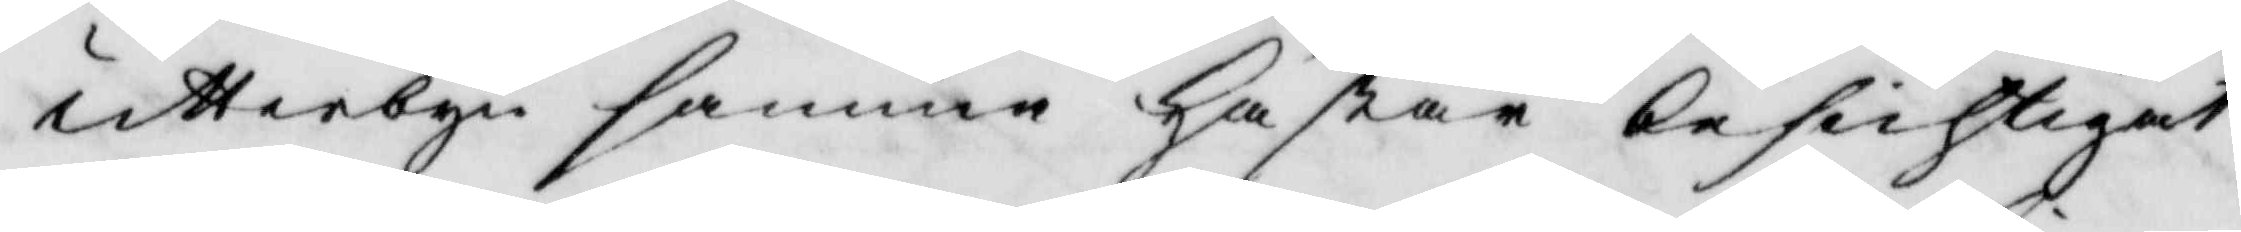utterbyn samma häsar besichtigat
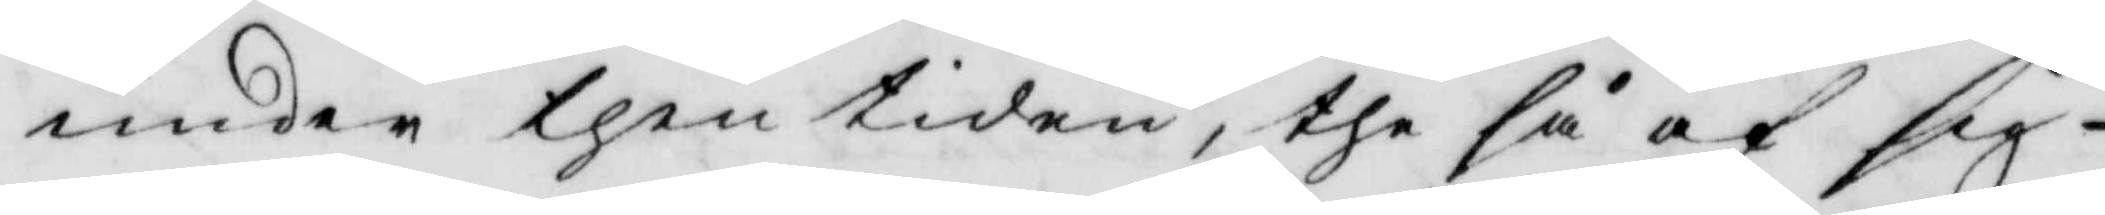under then tiden, the så af sig
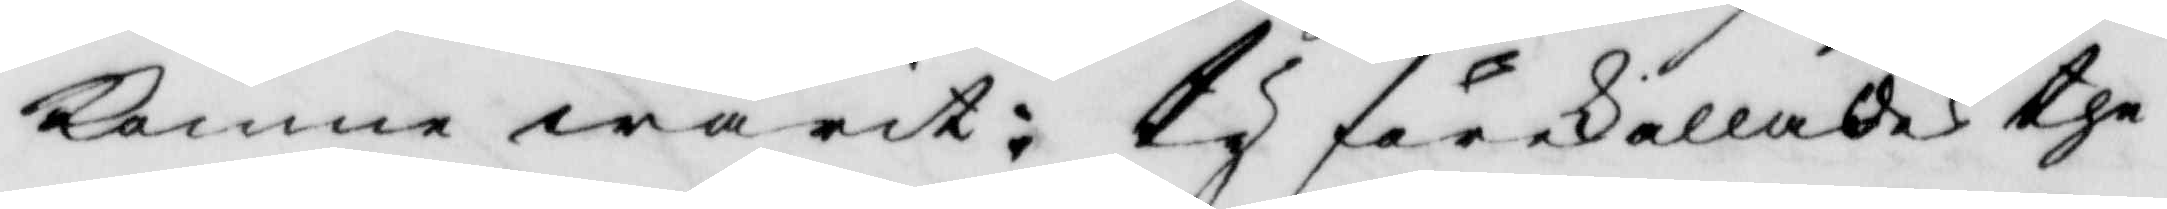komns warit: Ty förekallades the
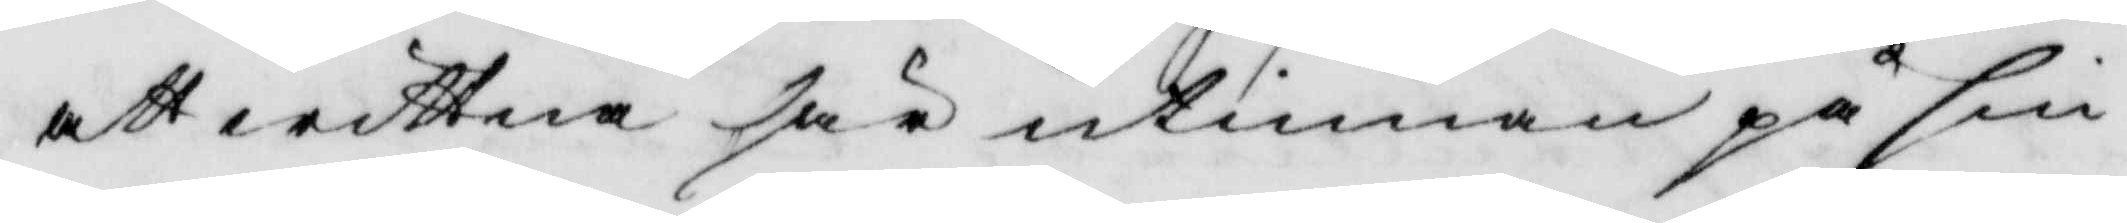att wittna härutinnan på sin
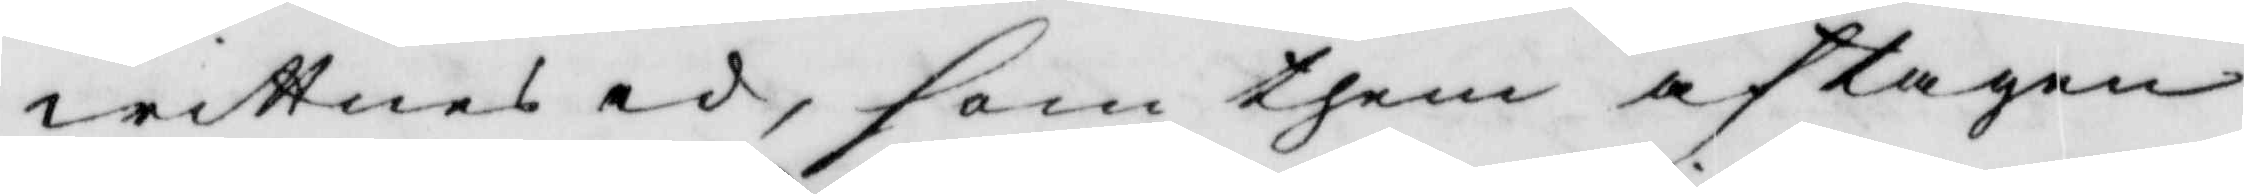wittnesed, som them aftagen
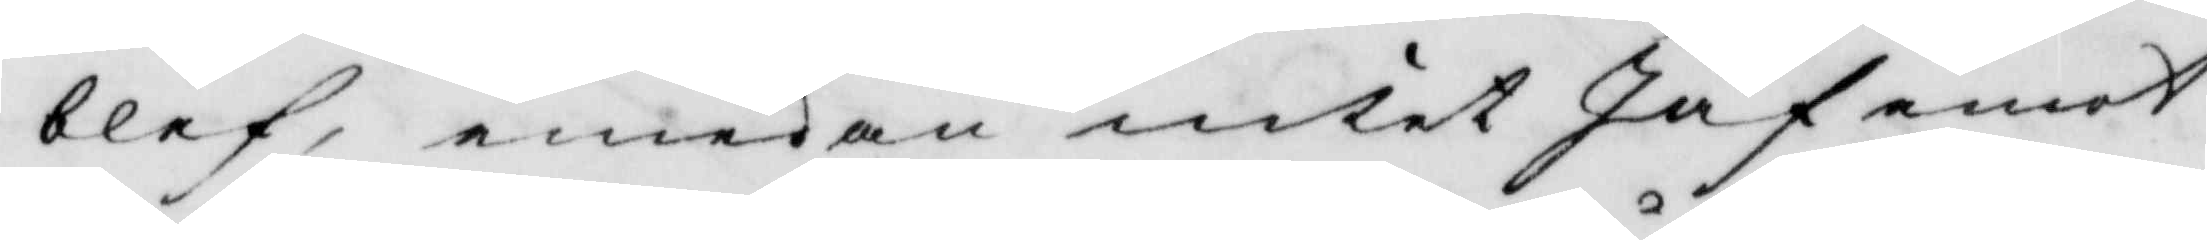blef, emedan intet Jäf emot
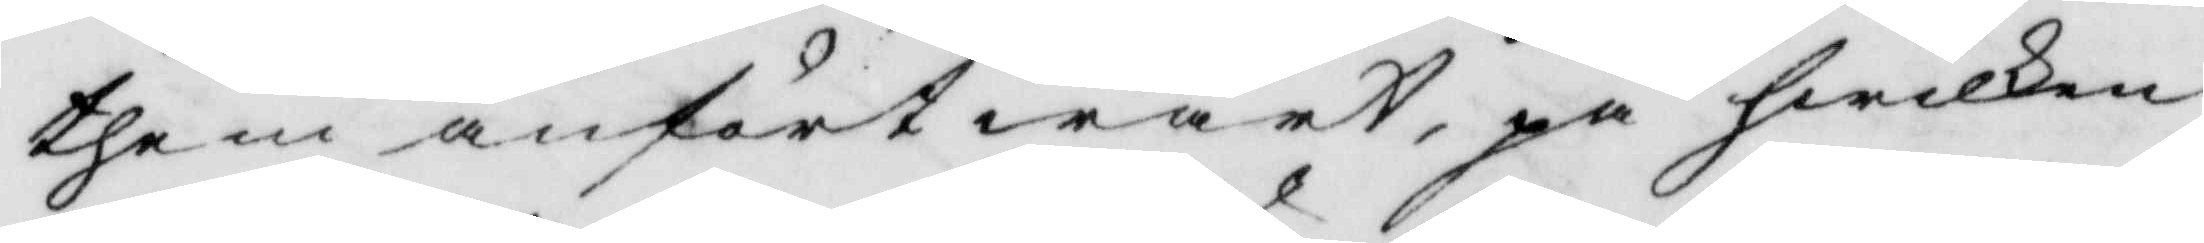them anfört wart, på hwilken
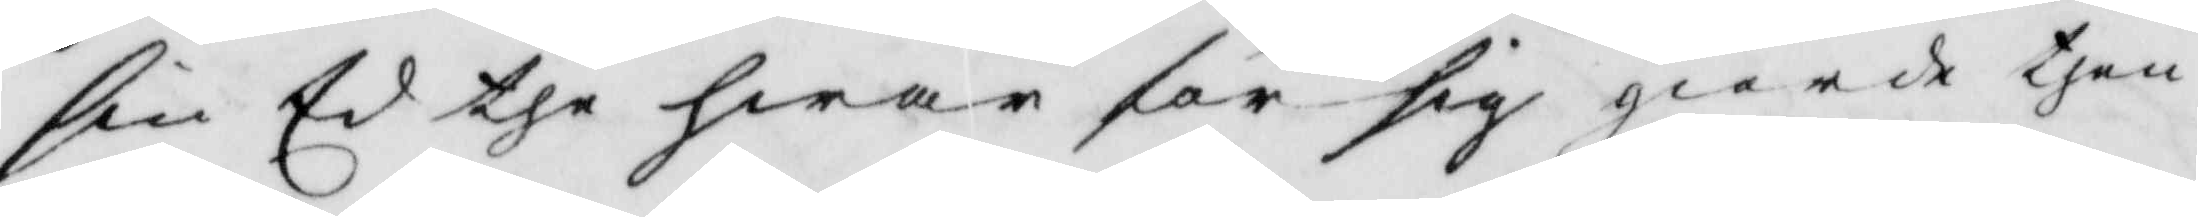sin Ed the hwar för sig giorde then
